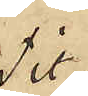Tit.
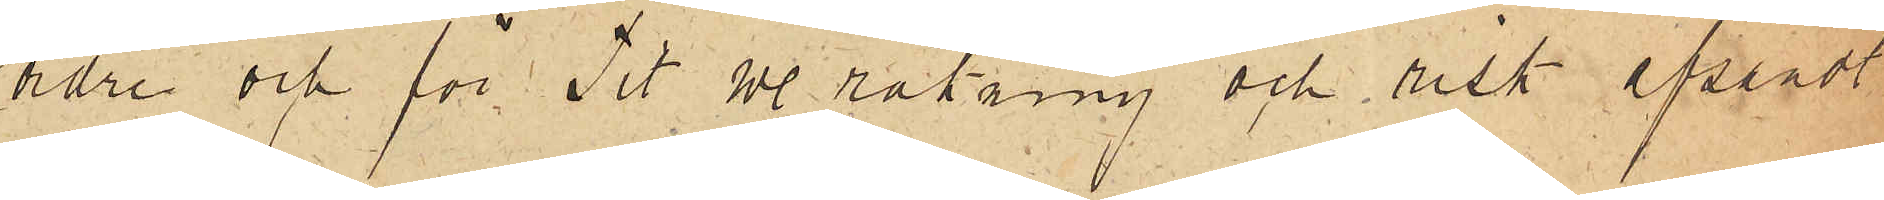ordre och för Tit. w. och risk afsändt
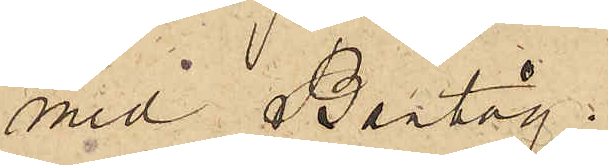med Bantåg:
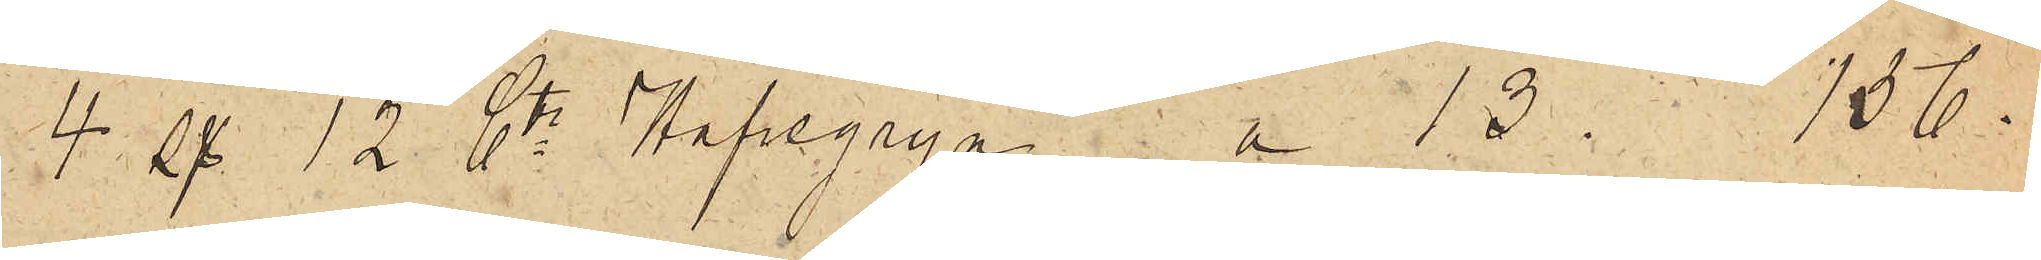4 ss 12 Ctr Havregryn a 13. 136.
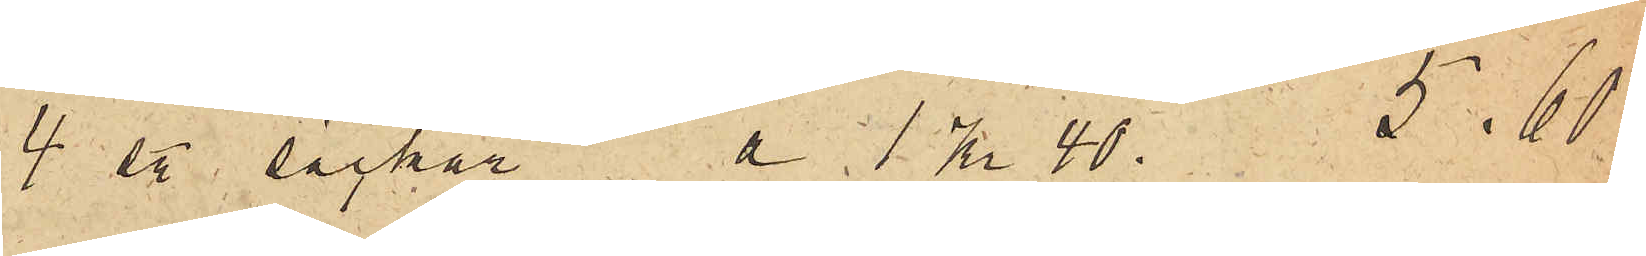4 sty. säckar a 1 Kr. 40. 5.60
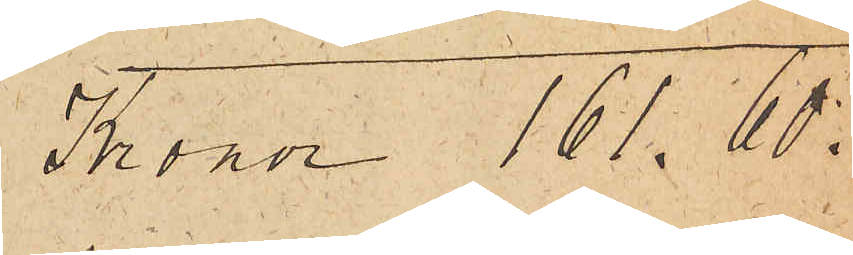Kronor 161.60
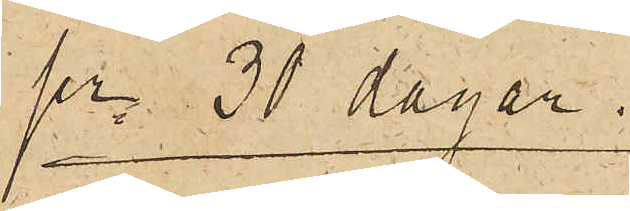pr. 30 dagar.
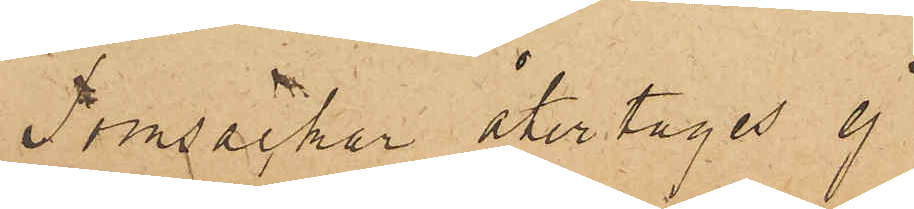Tomsäckar återtages ej.
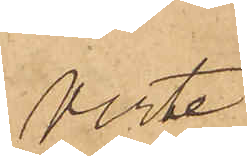Verte
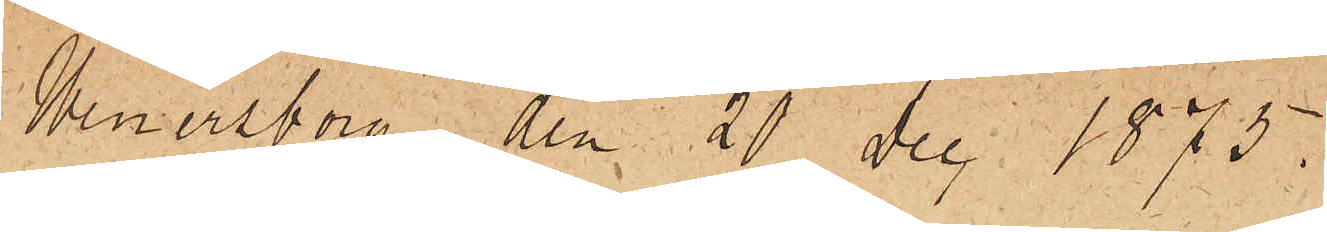Wenersborg den 21 Dec 1875.
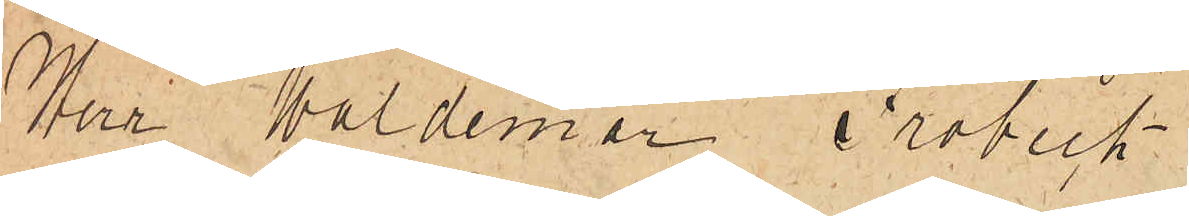Herr Waldemar Fröbeck
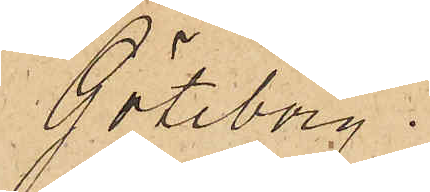Göteborg.
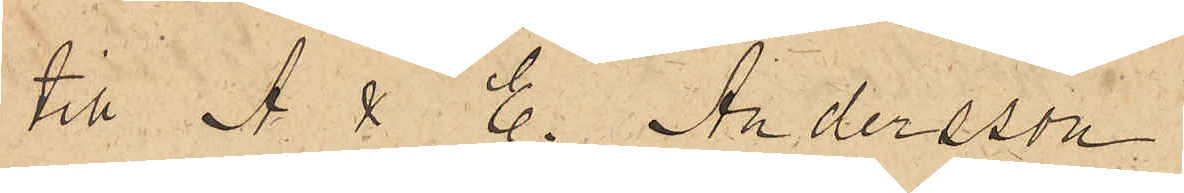till A & E. Andersson
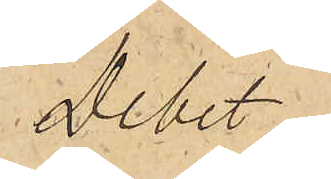Debet
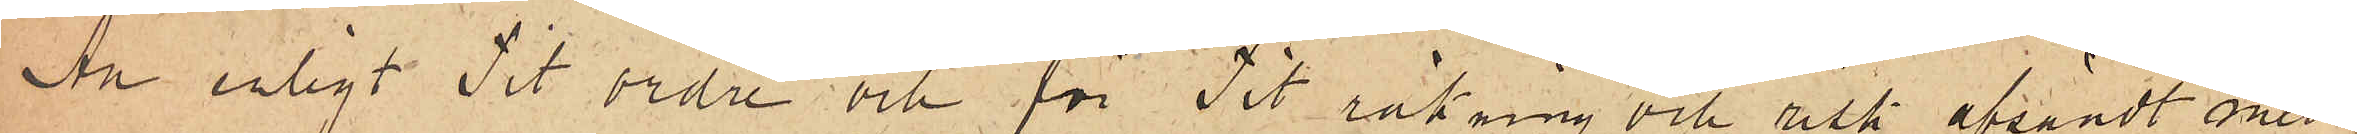An enligt Tit ordre och för Tit räkning och risk afsändt med
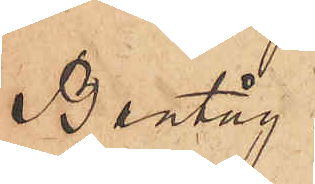Bantåg
